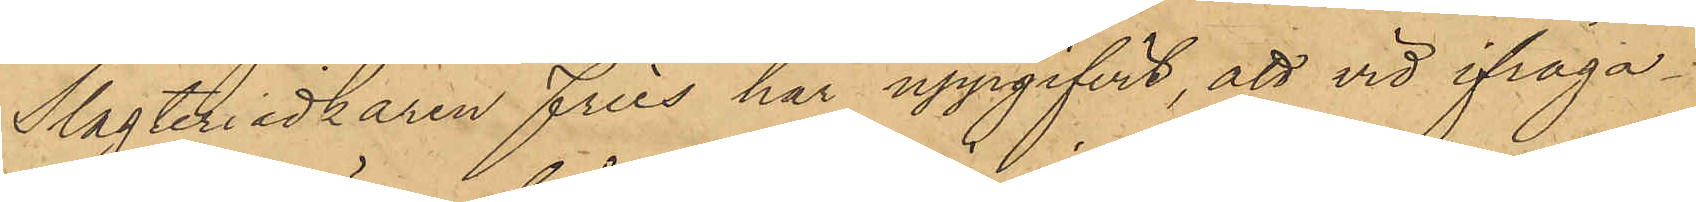Slagteriidkaren Fries har uppgifvit, att vid ifråga¬
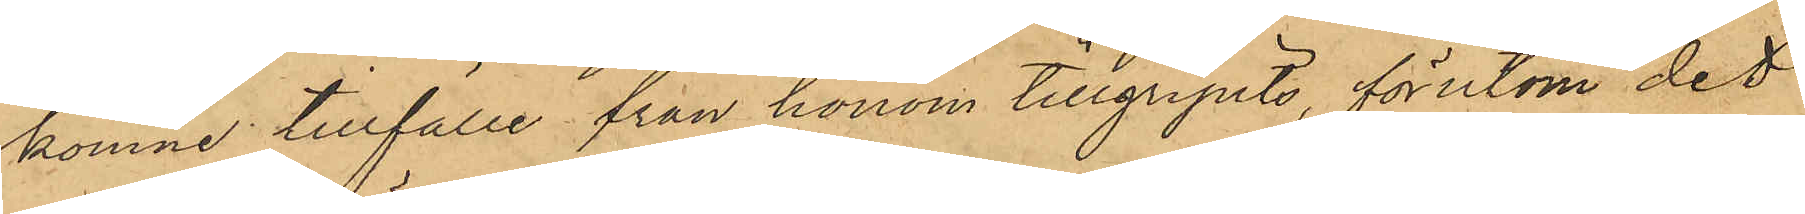komne tillfälle från honom tillgripits, förutom det
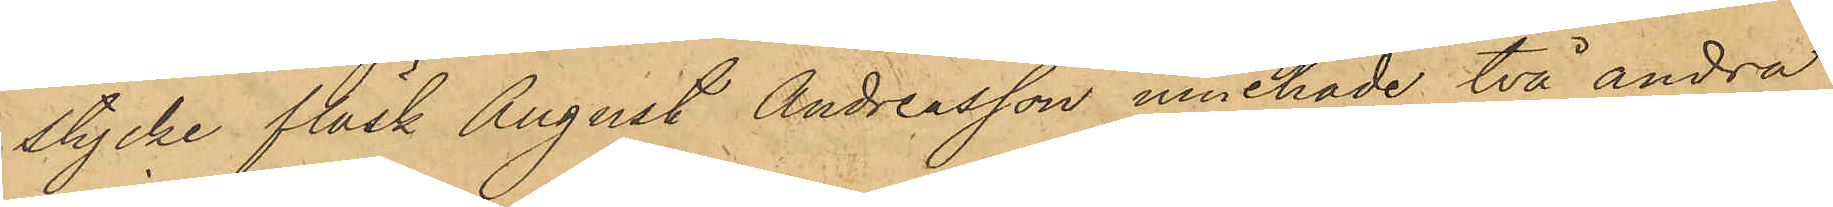stycke fläsk August Andreasson innehade två andra
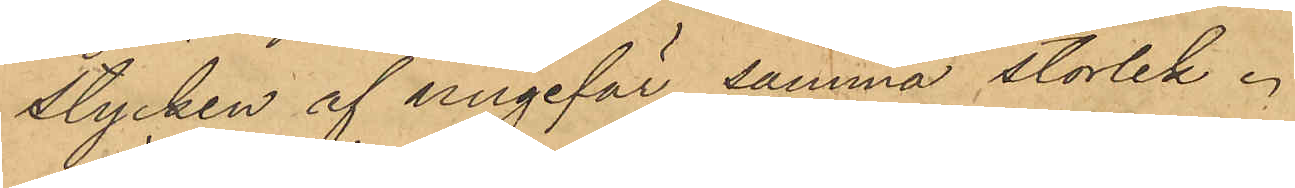stycken af ungefär samma storlek.
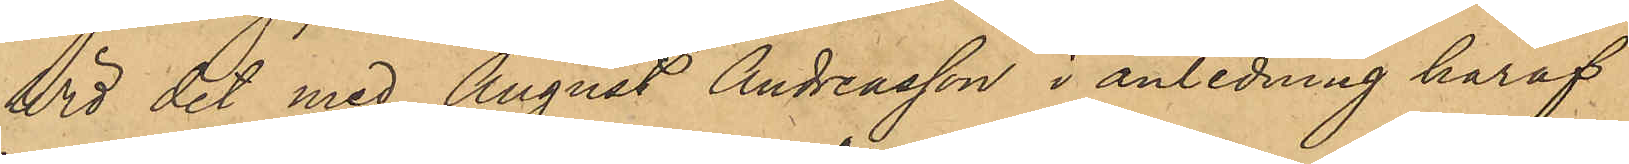Wid det med August Andreasson i anledning häraf
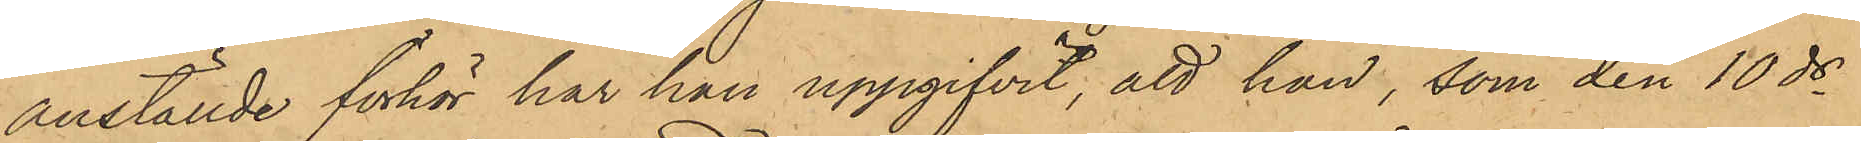anställde förhör har han uppgifvit, att han, som den 10 ds
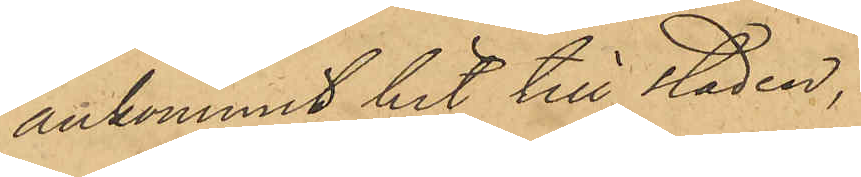ankommit hit till staden,
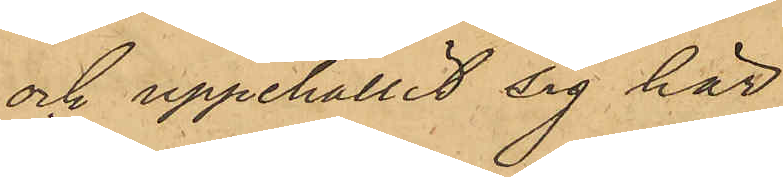och uppehållit sig här
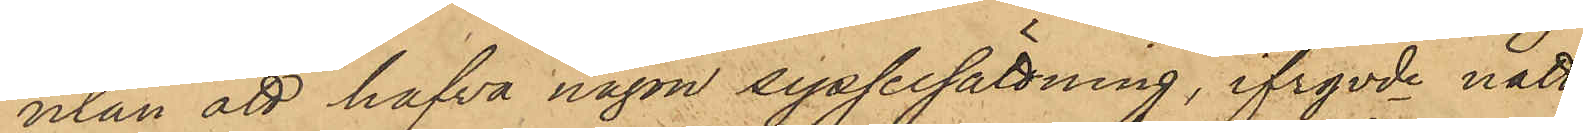utan att hafva någon sysselsättning, ifrgvde natt
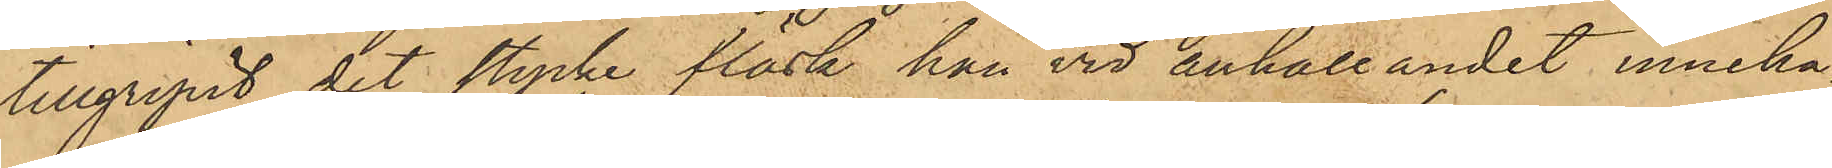tillgripit det stycke fläsk han vid anhållandet inneha¬
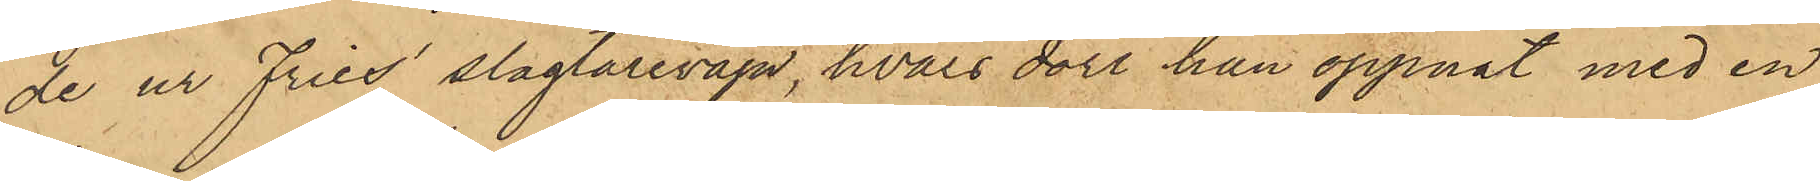de ur Fries' slagtarevagn, hvars dörr han öppnat med en
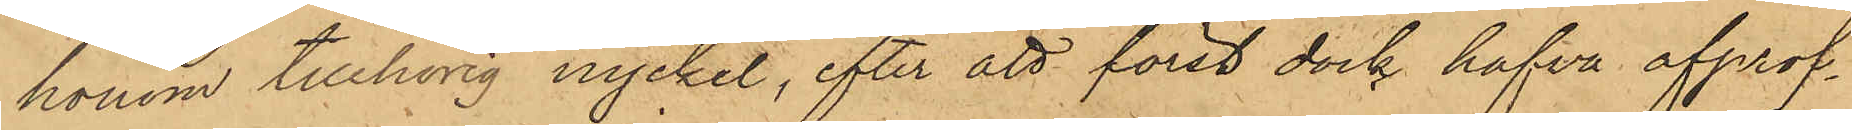honom tillhörig nyckel, efter att först dock hafva afprof¬
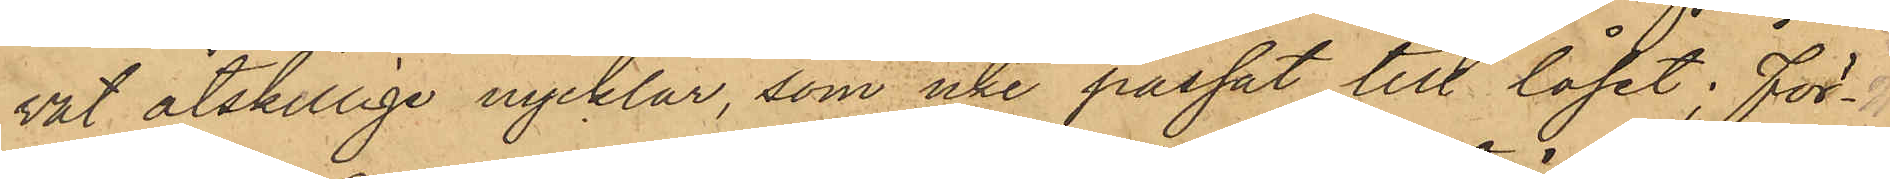vat åtskilliga nycklar, som icke passat till låset, för¬
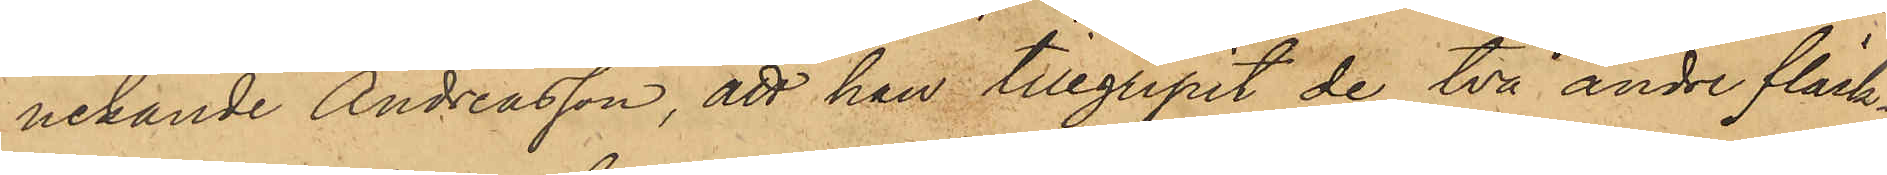nekande Andreasson, att han tillgripit de två andre fläsk¬
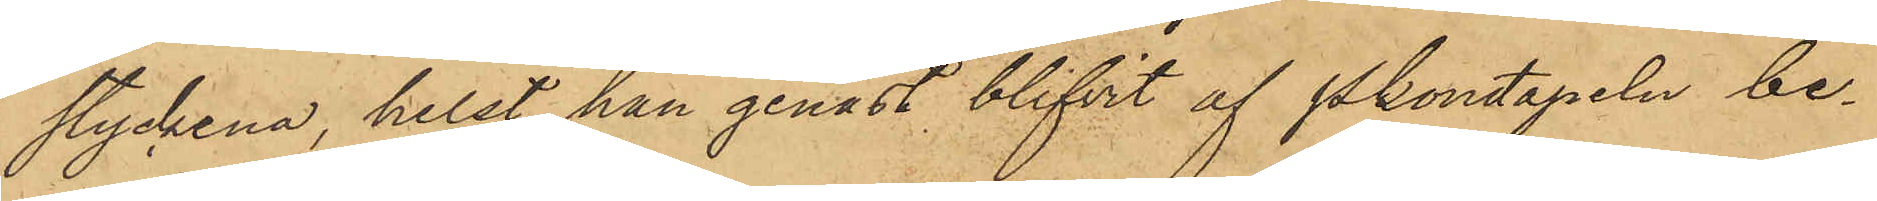styckena, helst han genast blifvit af Pkonstapeln be¬
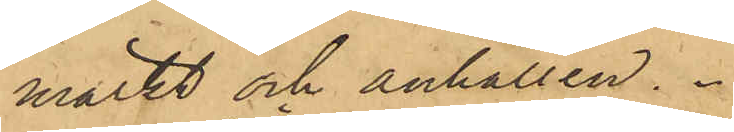märkt och anhållen.
